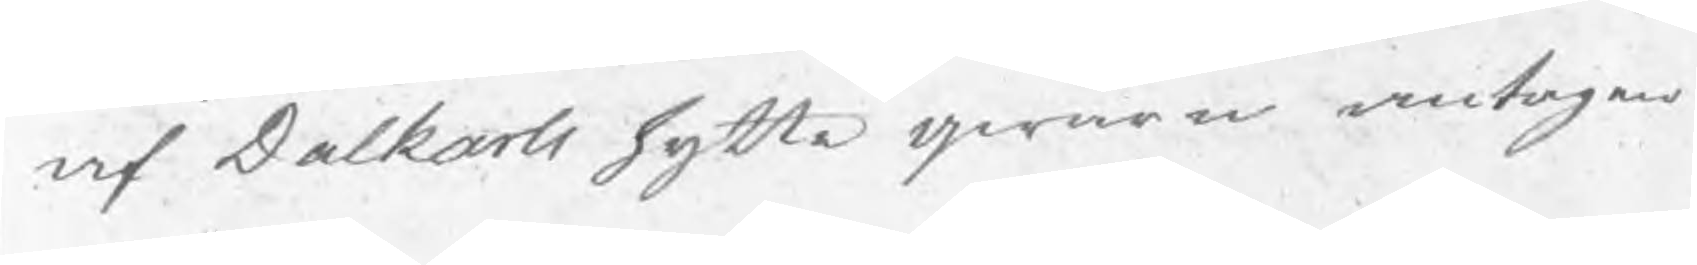af Dalkarls hytte genom antagen
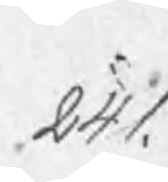241.
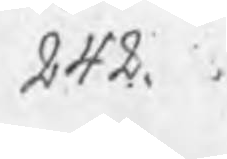242.
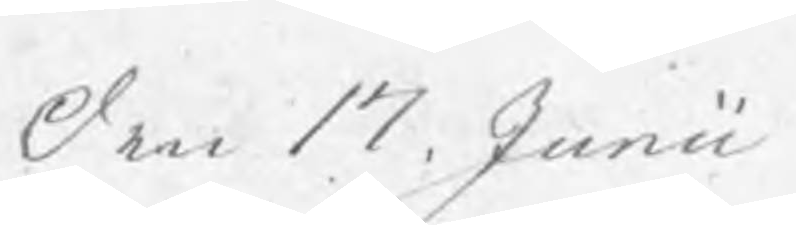den 17. Junii
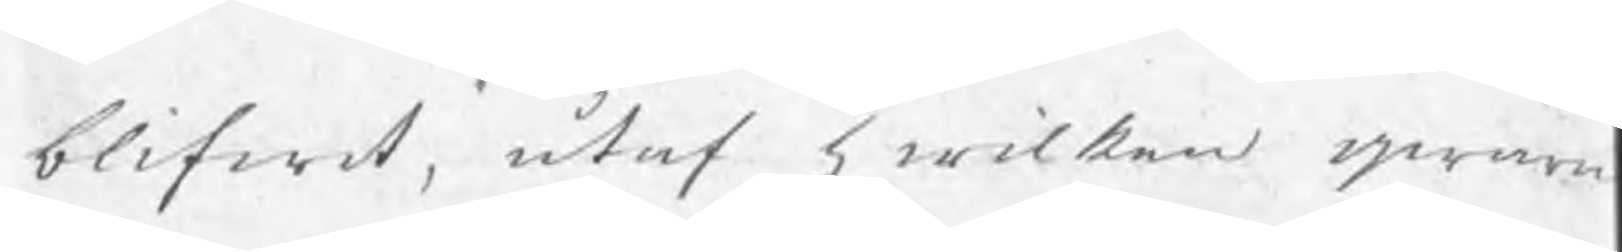blifwit, utaf hwilken qwarn
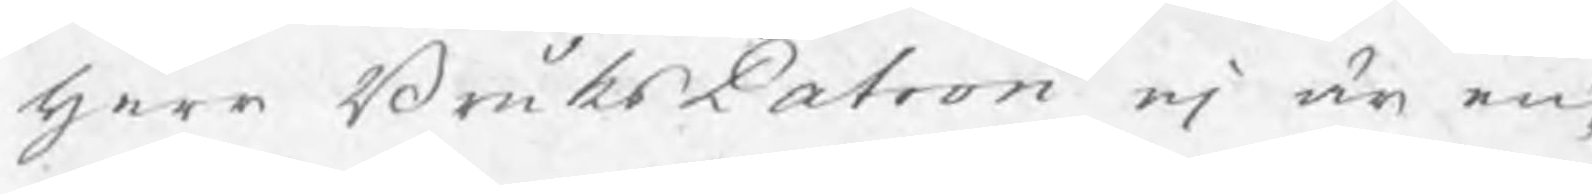herr BruksPatron ej är en¬
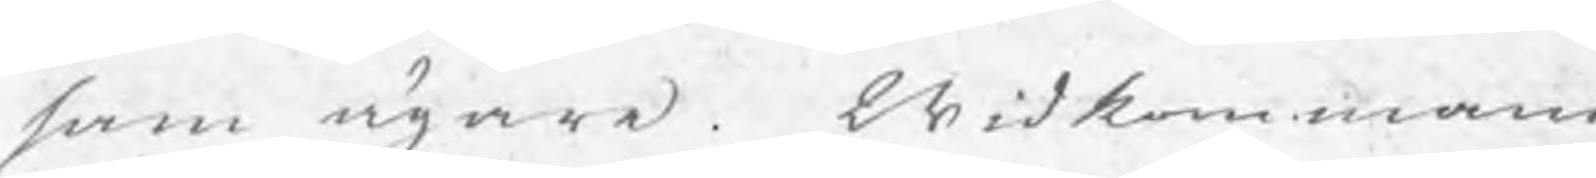sam ägare. Widkommande
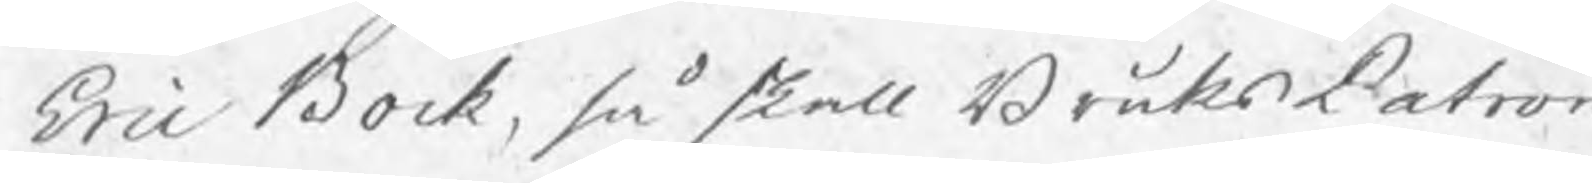Eric Bock, så skall BruksPatron
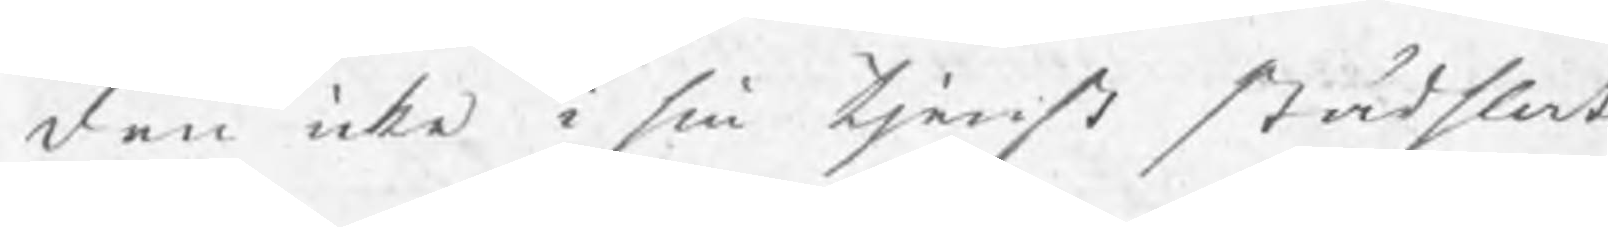den icke i sin tjenst städslat
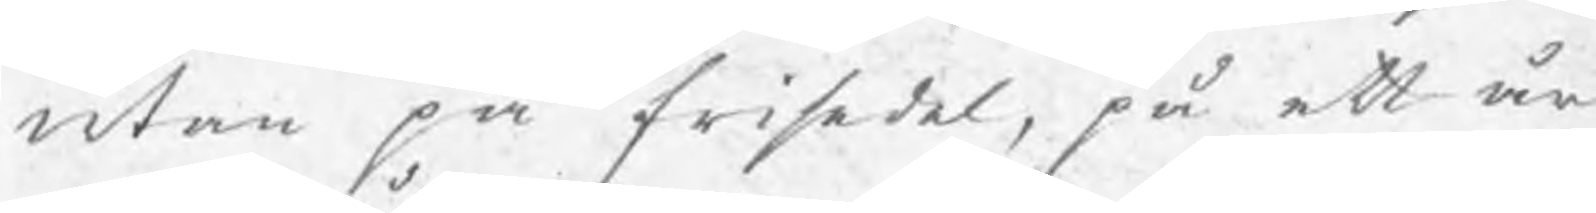utan på frisedel, på ett år
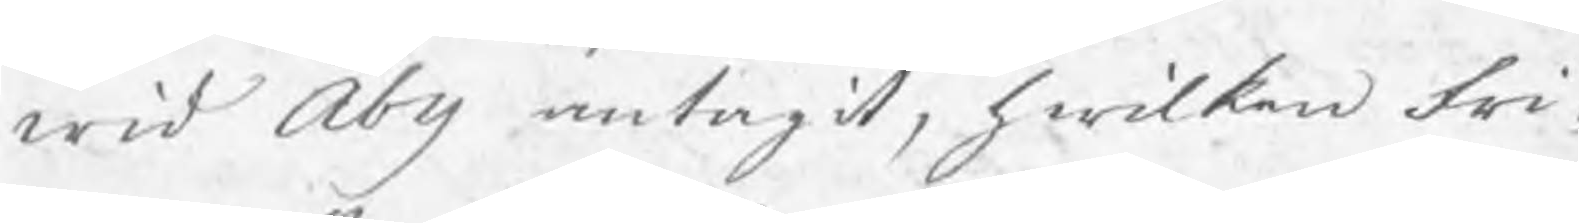wid Åby antagit, hwilken fri¬
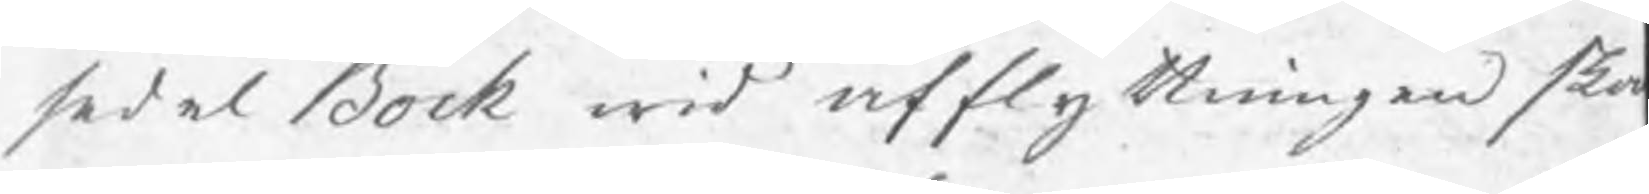sedel Bock wid afflyttningen ska
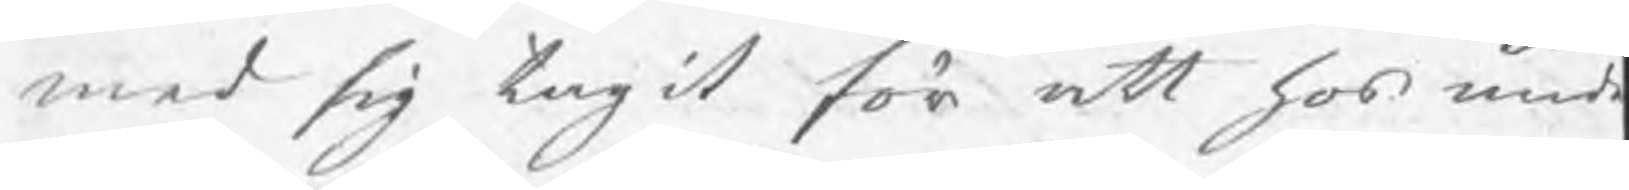med sig tagit för att hos und
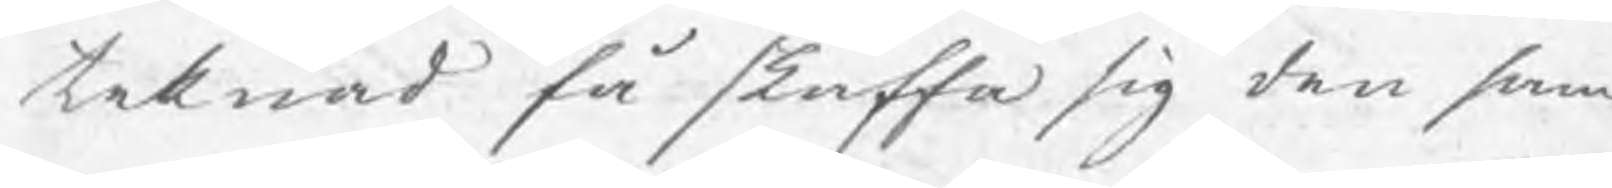teknad få skaffa sig den sam¬
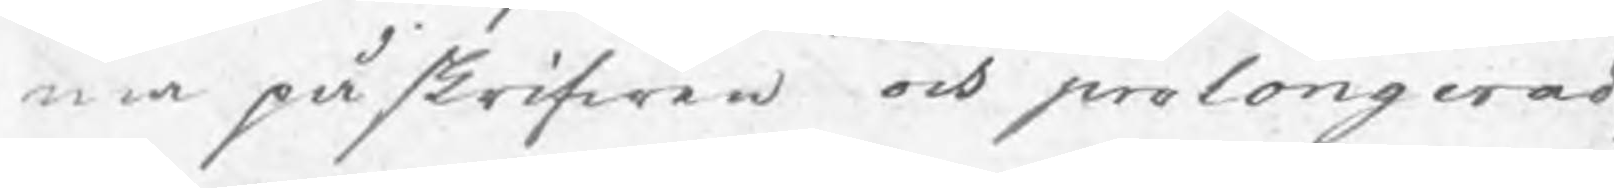ma påskrifwen och prolongerad,
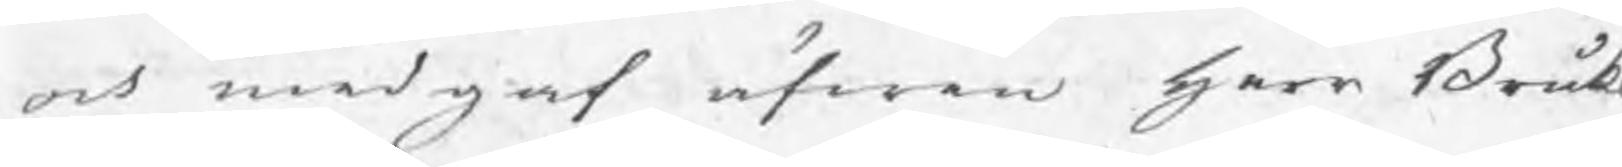och medgaf äfwen herr Bruk
